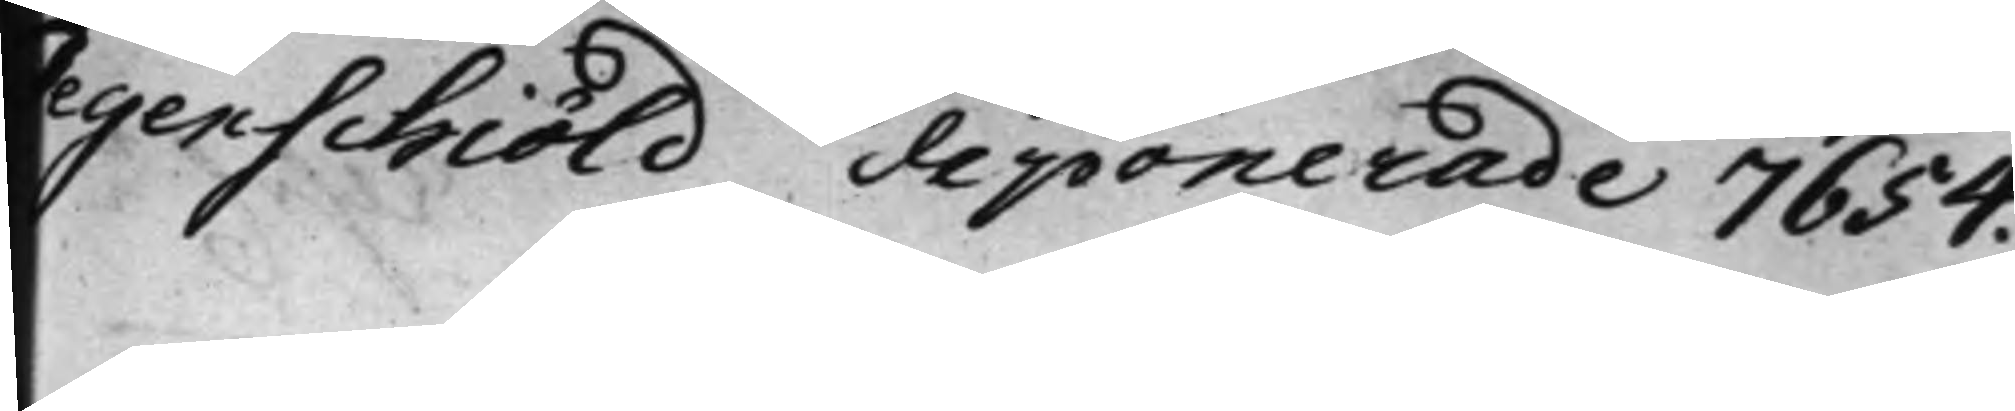Tegenschiöld deponerade 7654.
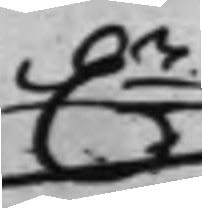D.r
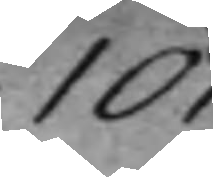10
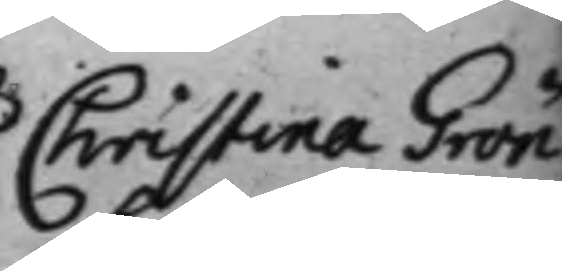Christina Grön¬
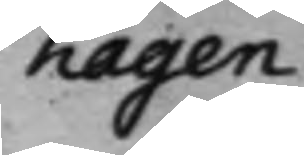hagen
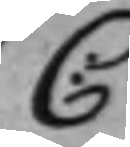C:
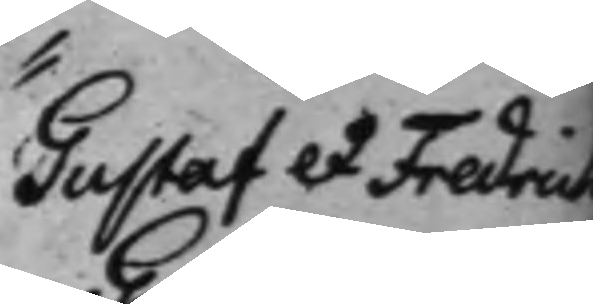Gustaf et Fredrich
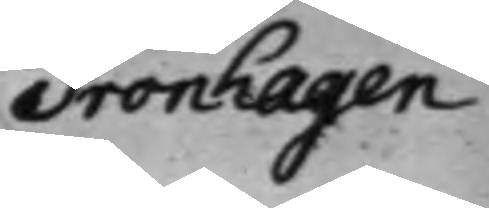Grönhagen.
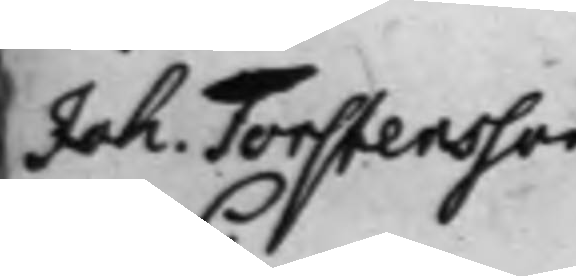Joh. Torstensson
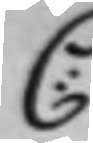C:
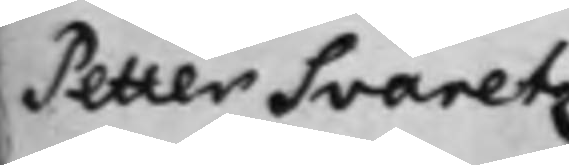Petter Svaretz
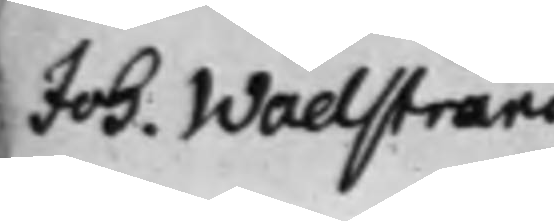Joh. Wadstrand.
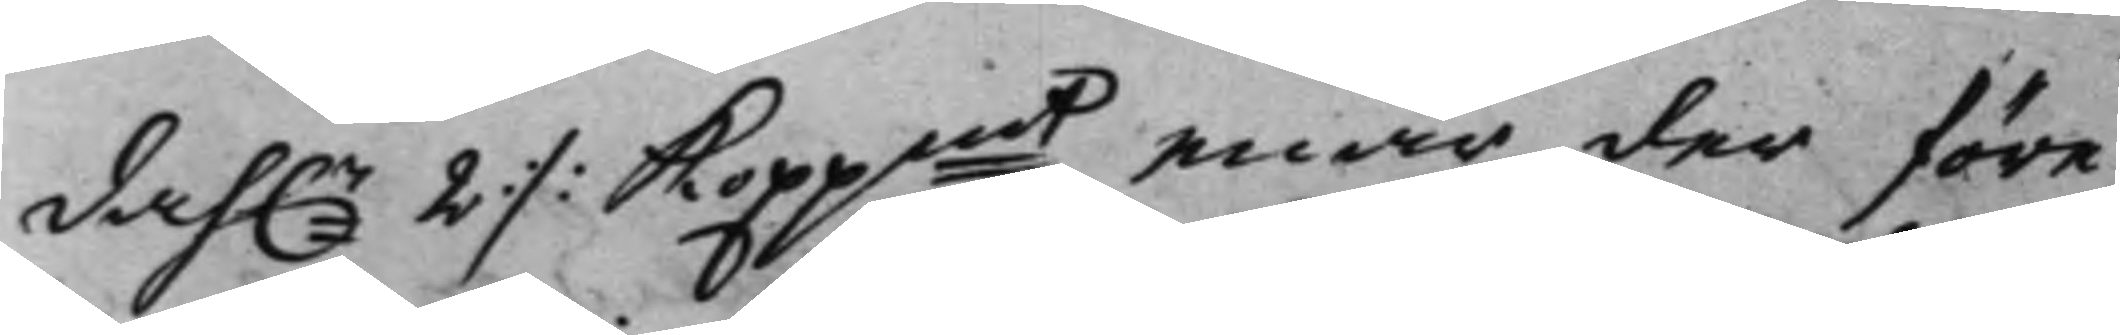dah.r 2 :/: Koppmt, enär der före
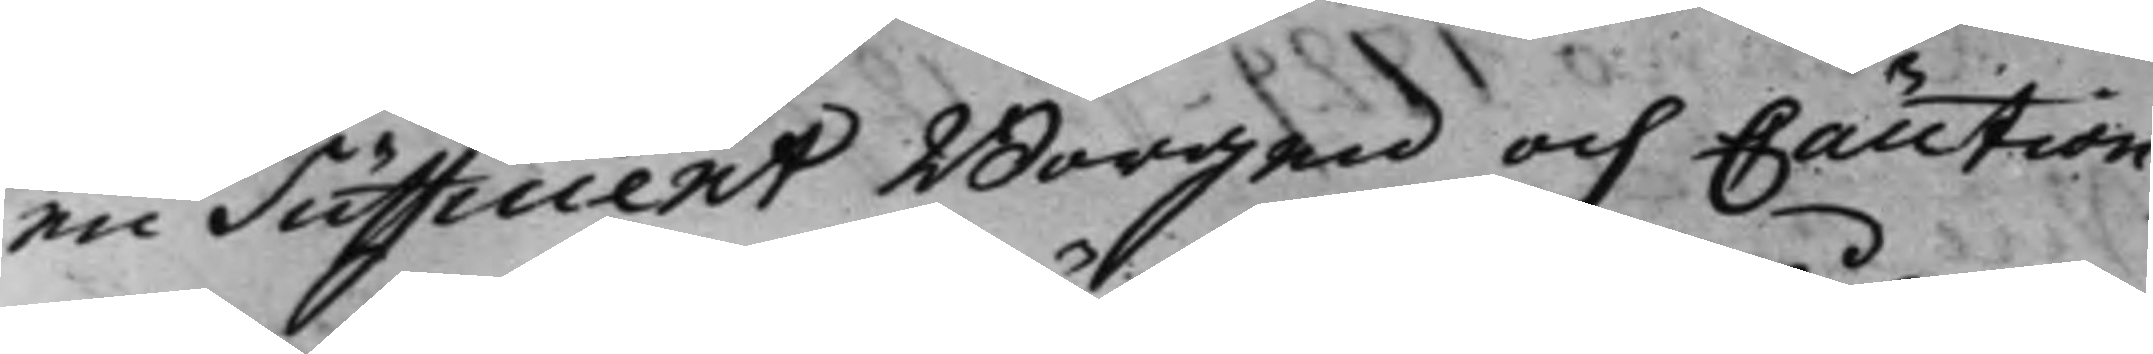en Sufficient Borgen och Caution
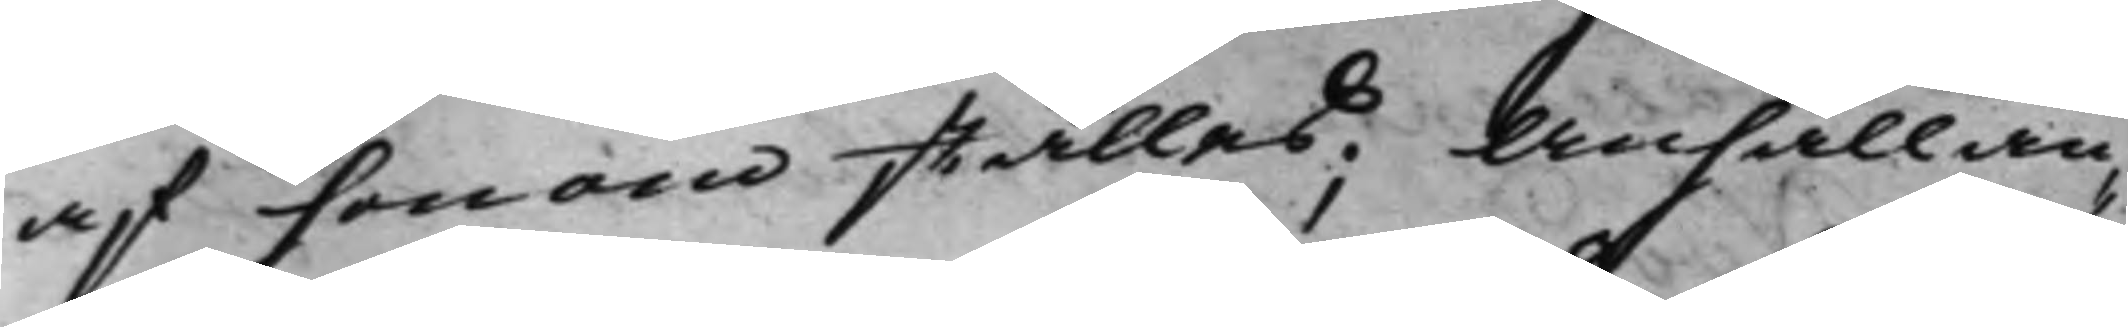af honom ställes; Anhållan¬
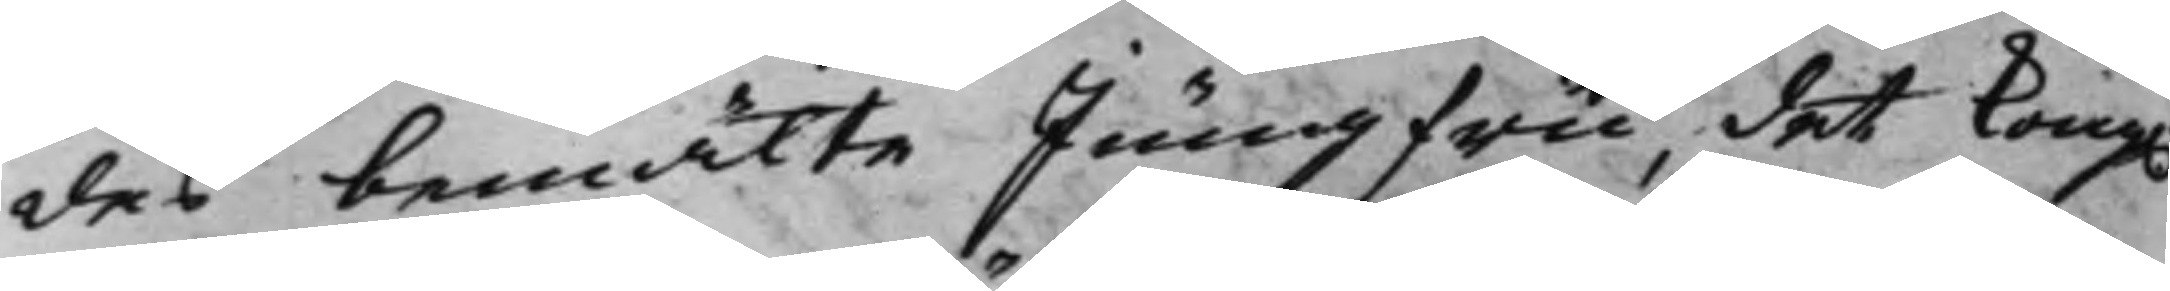des bemälte Jungfru, det Kong.
